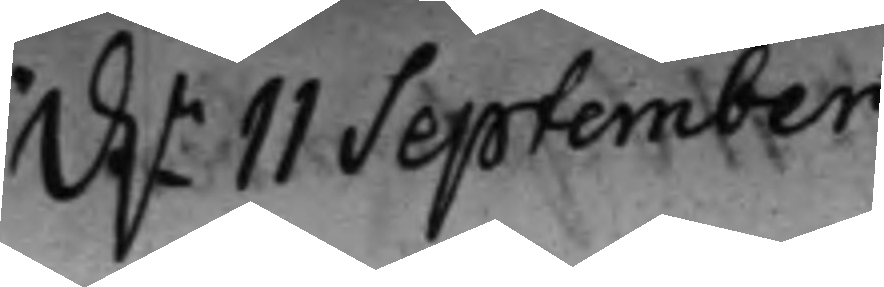d.n 11 September
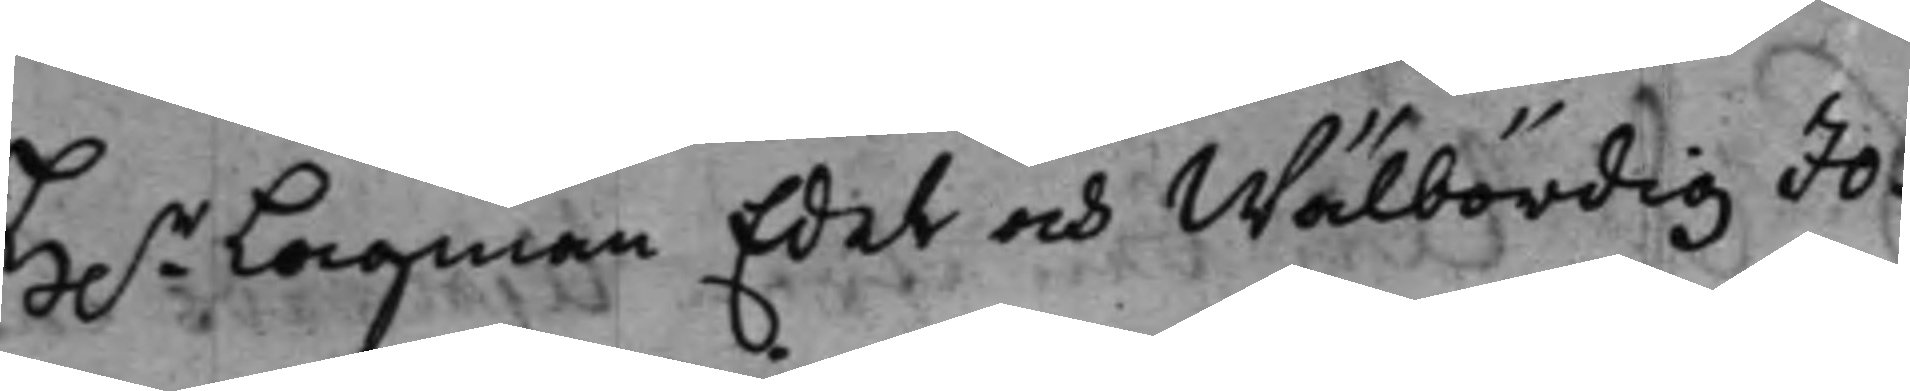H.r Lagman Edel och Wälbördig Jo¬
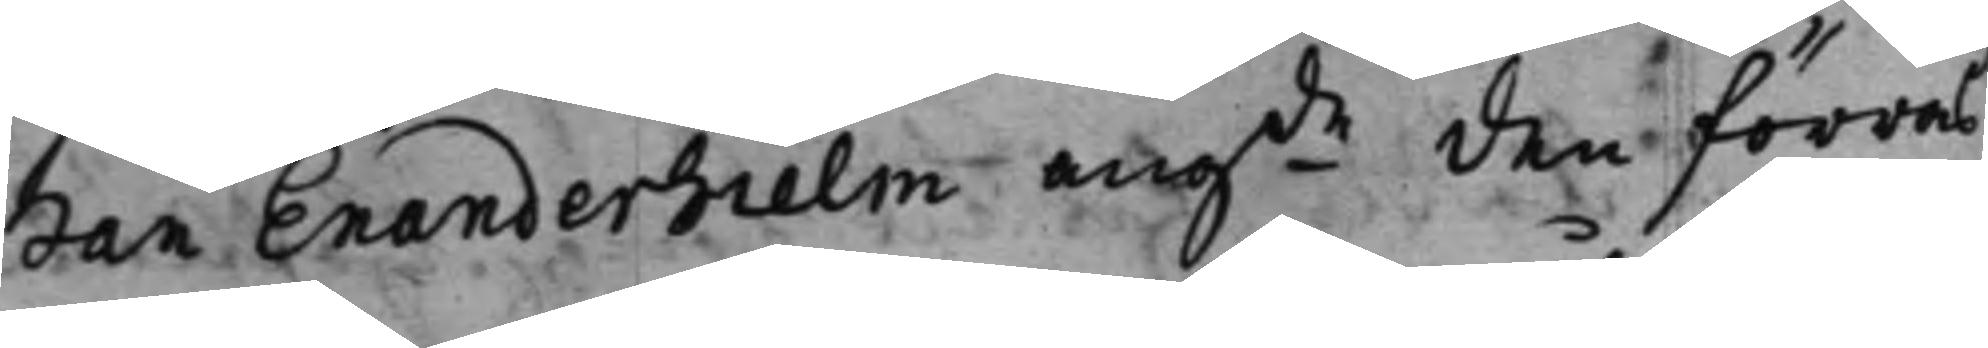han Enanderhielm angde den förras
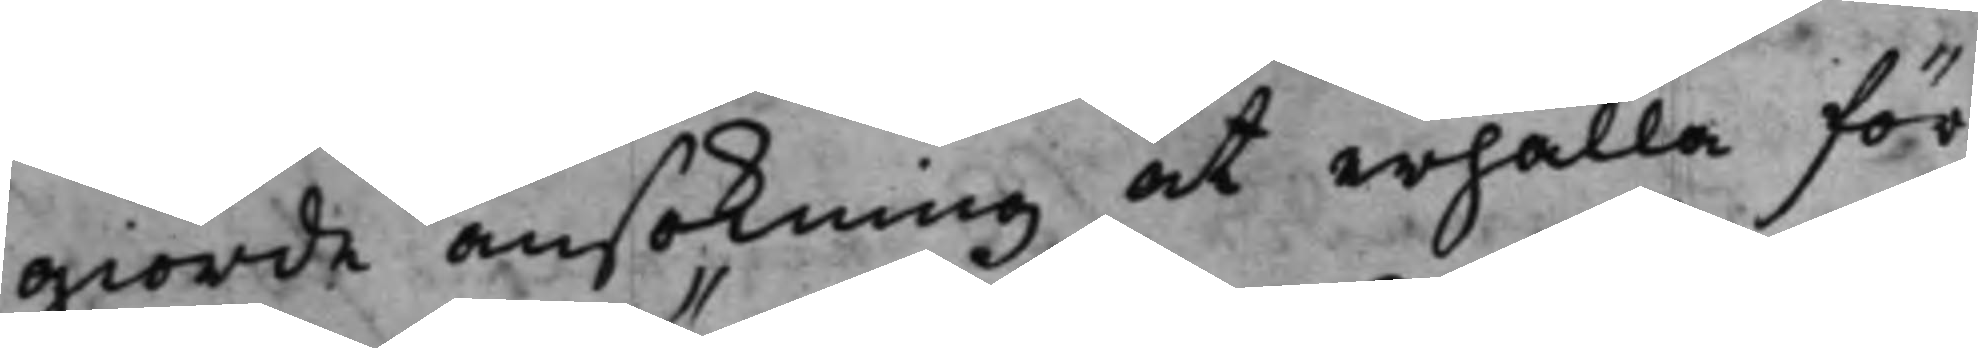giorde ansökning, at erhålla för¬
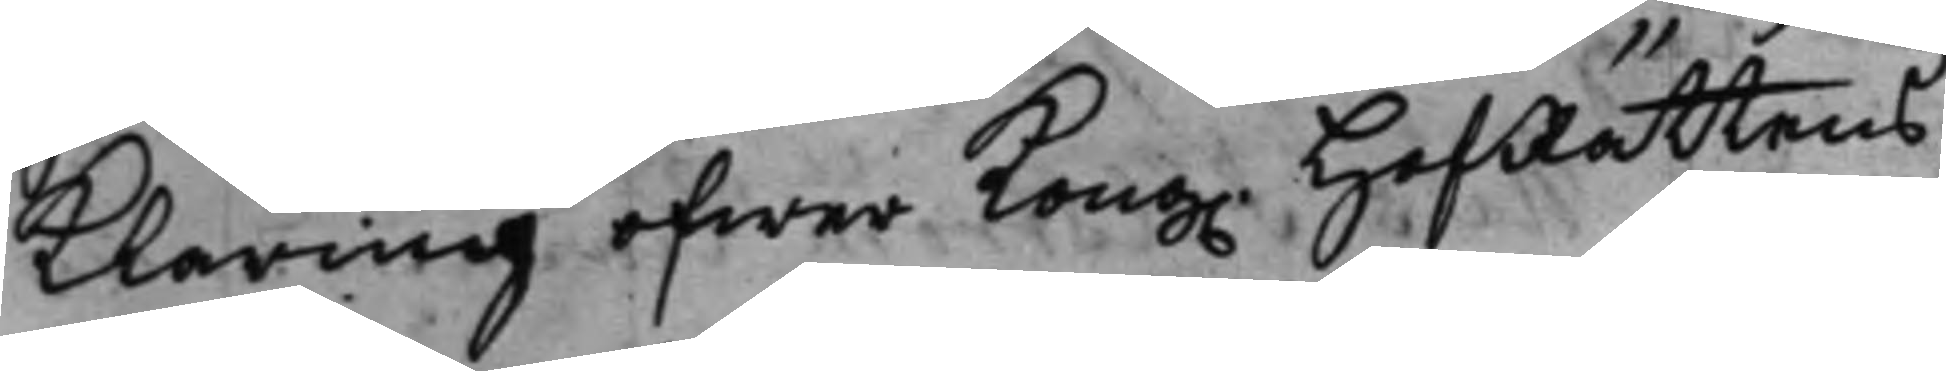klaring öfwer Kong. HofRättens
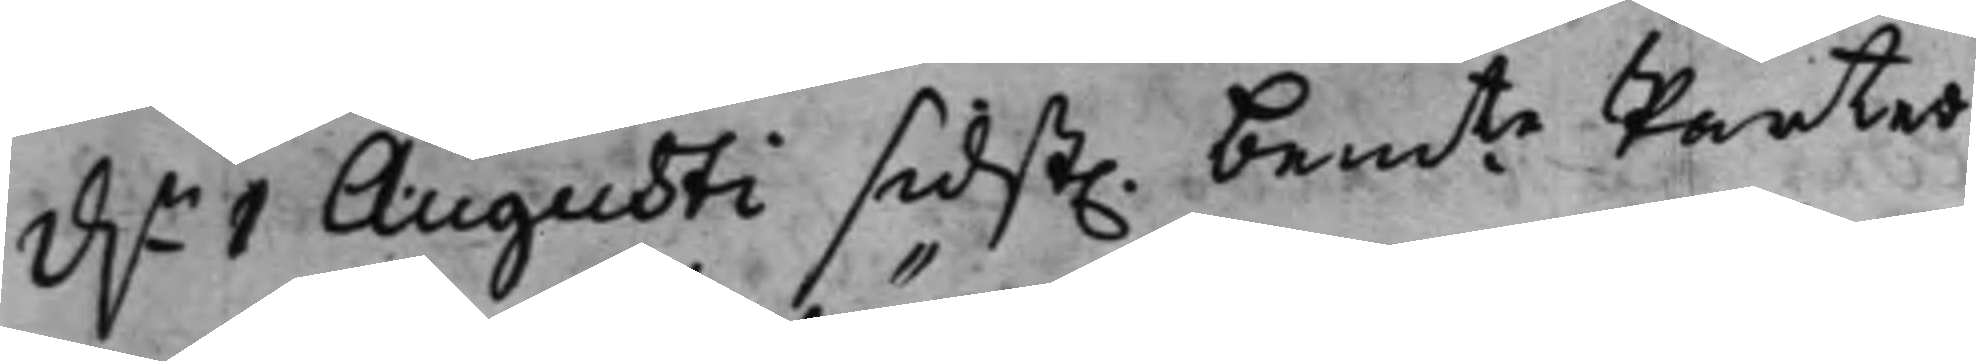d.n 1 Augusti sidst. bemte Parter
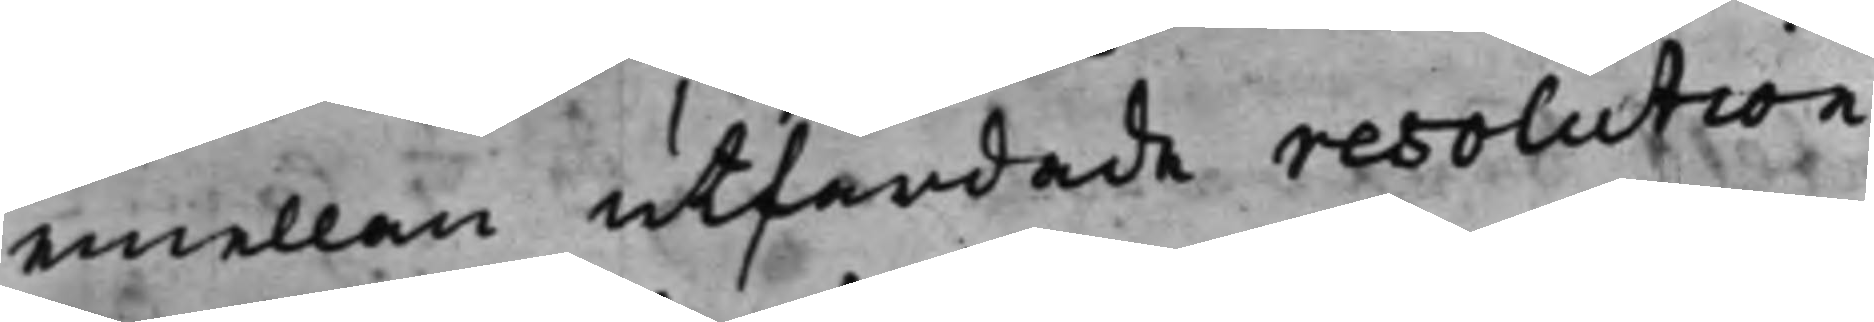emellan utfärdade resolution
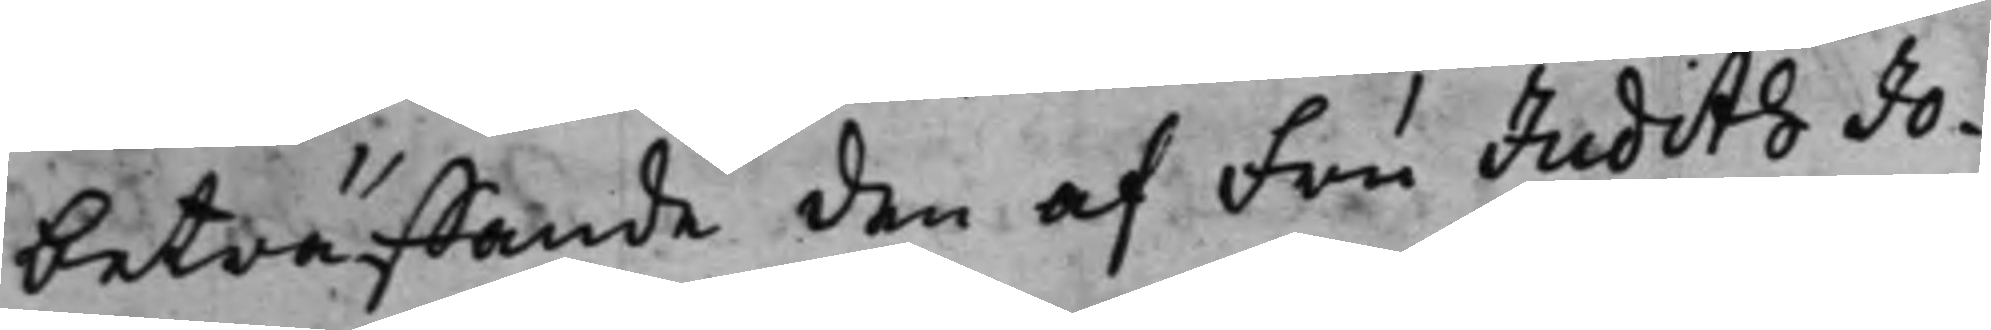beträffande den af Fru Judith Jo¬
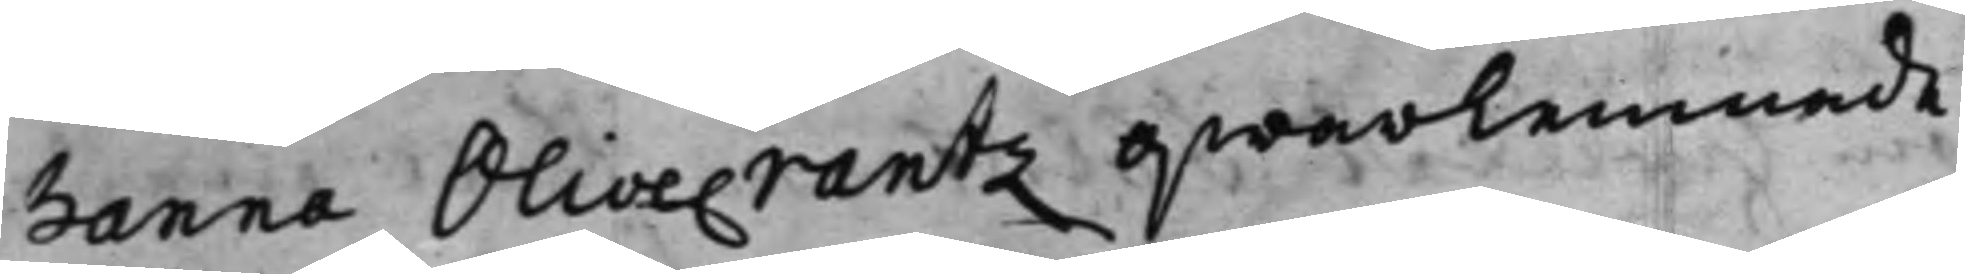hanna Olivecrantz qwarlemnade
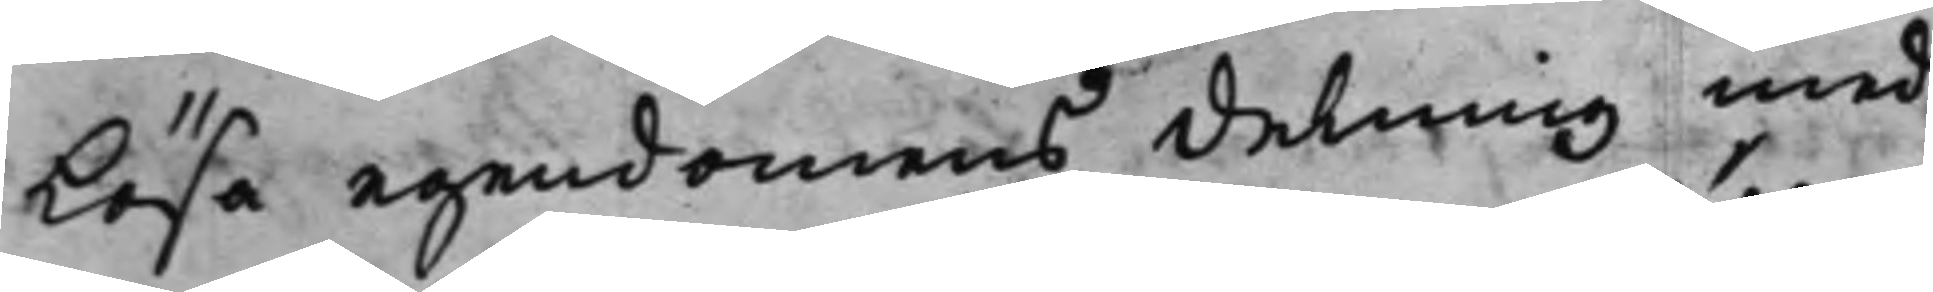Lösa egendomens delning med
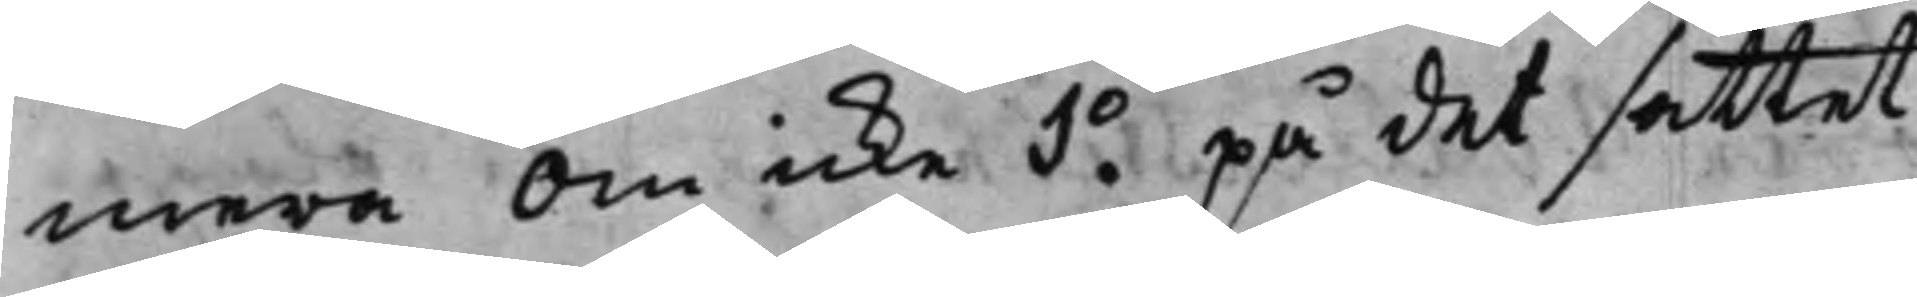mera om icke 1.o på det sättet
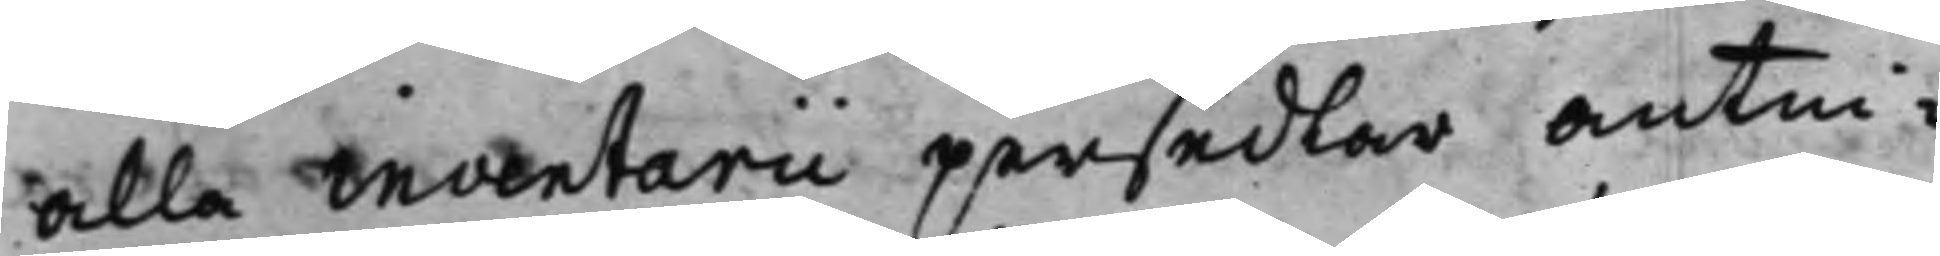alla inventarii persedlar antin¬
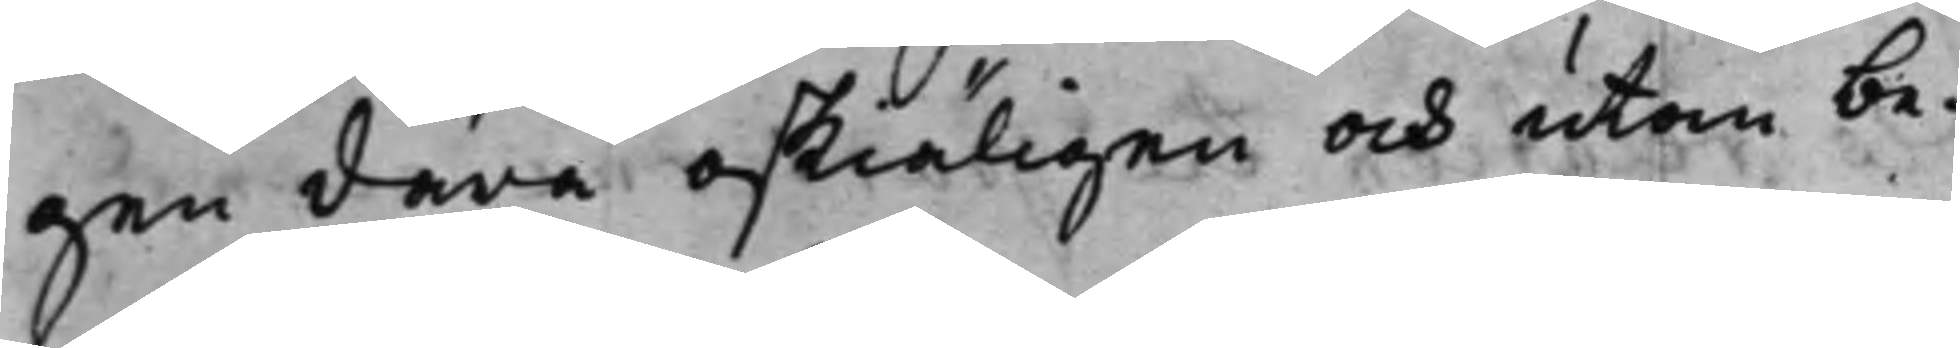gen därå oskiäligen och utan be¬
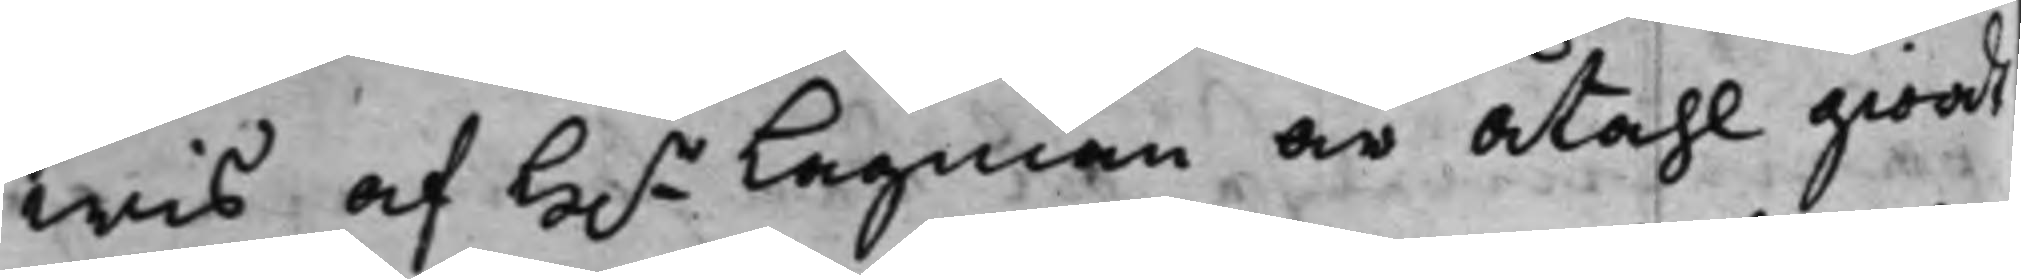wis af H.r Lagman är åtahl giordt
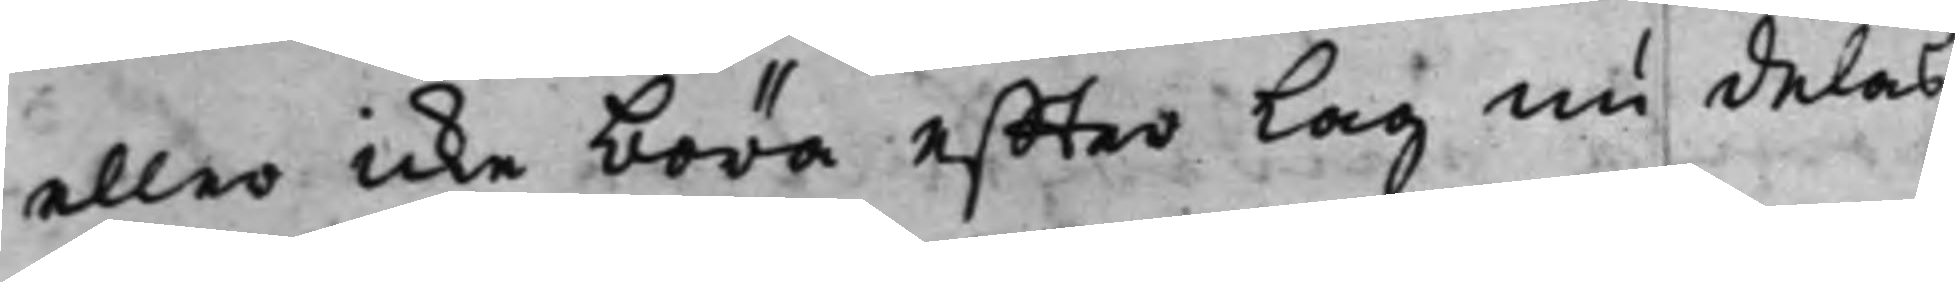eller icke böra effter Lag nu delas
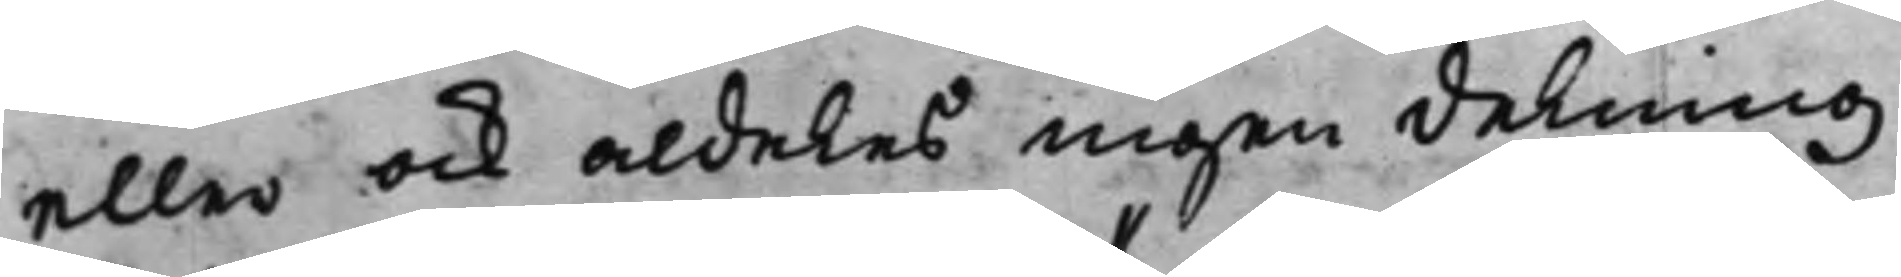eller ock aldeles ingen delning
